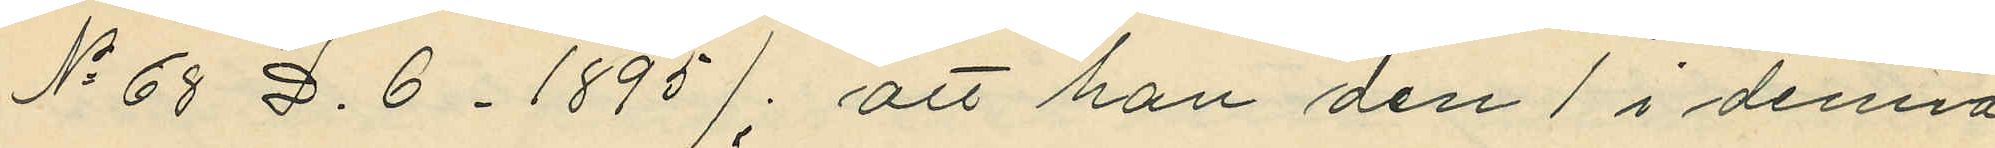No 68 D.6. 1895), att han den 1 i denna
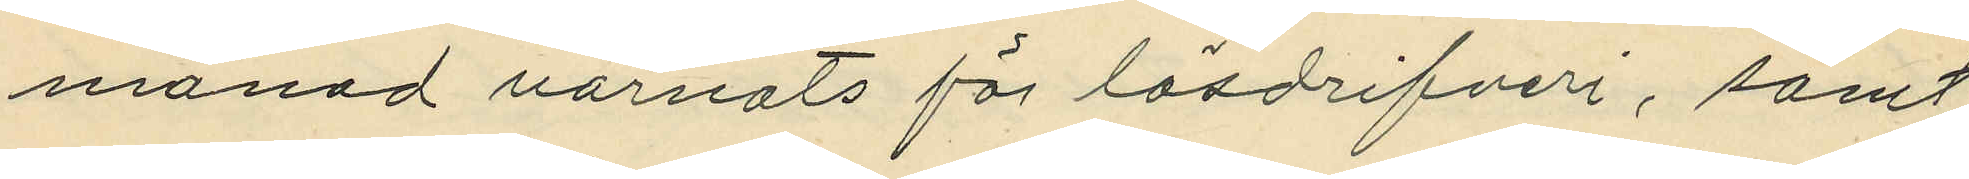månad varnats för lösdrifveri, samt
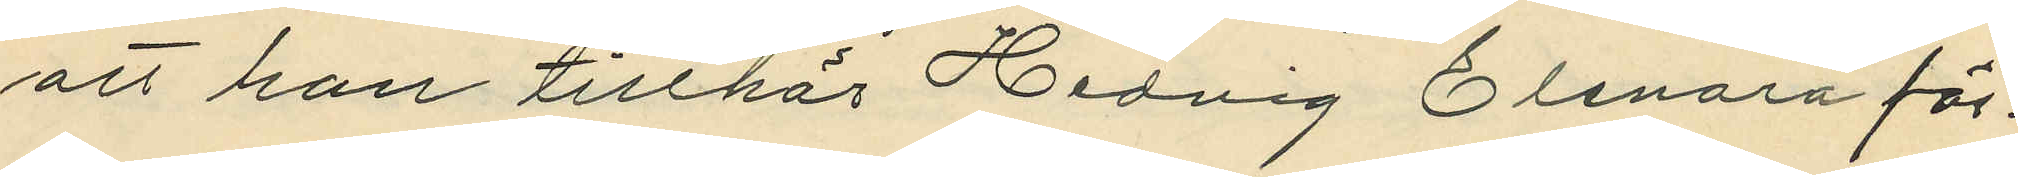att han tillhör Hedvig Elenora för¬
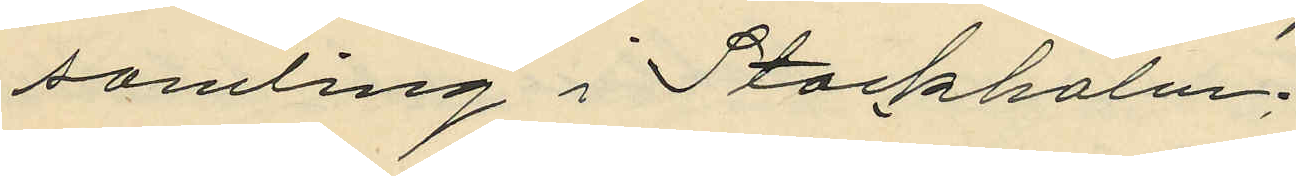samling i Stockholm.
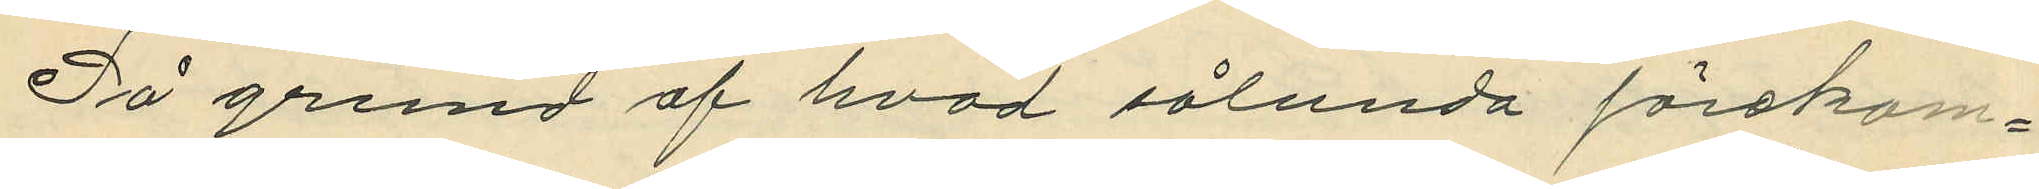På grund af hvad sålunda förekom¬
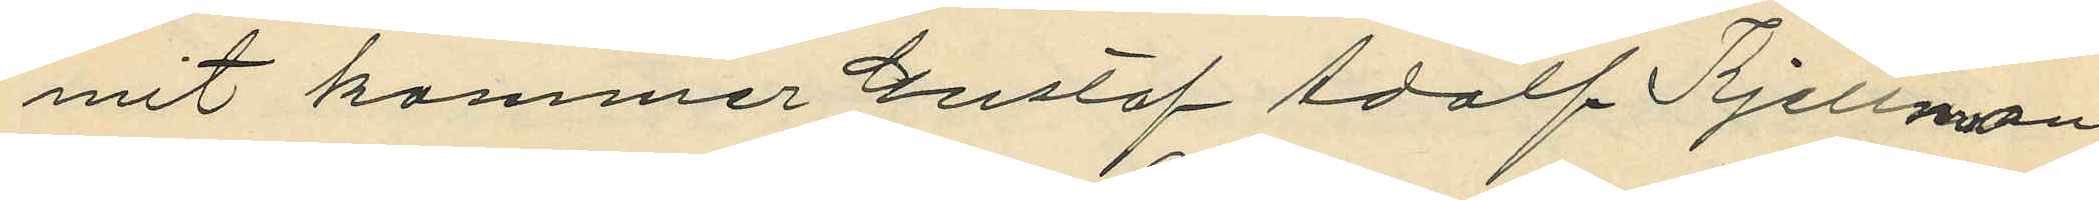mit kommer Gustaf Adolf Kjellman,
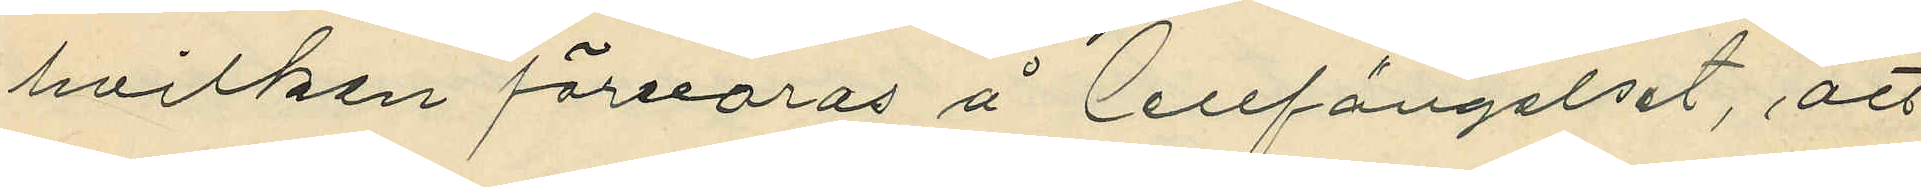hvilken förvaras å Cellfängelset, att
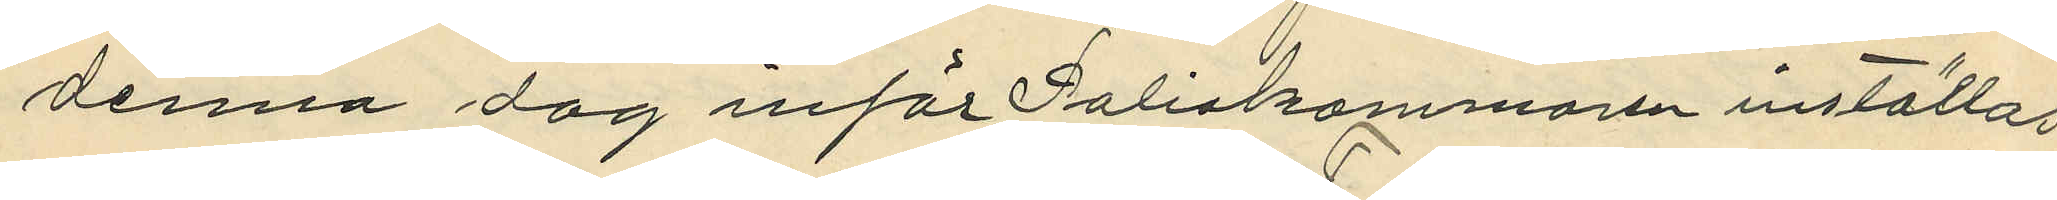denna dag inför Poliskammaren inställas
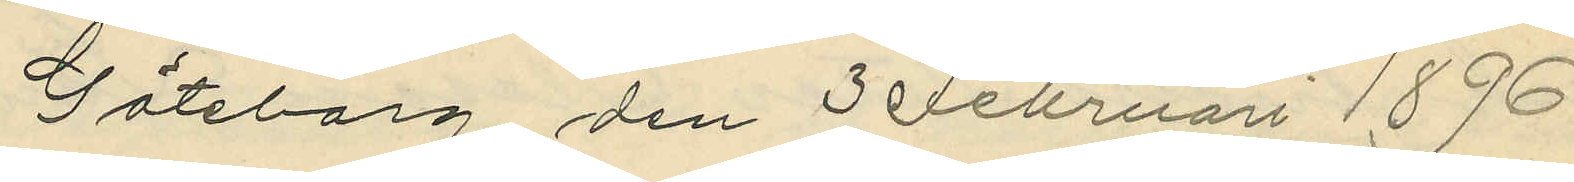Göteborg den 3 Februari 1896.
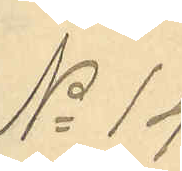No 14
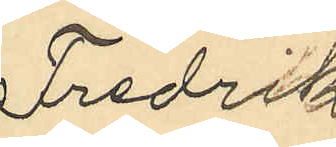Fredrik
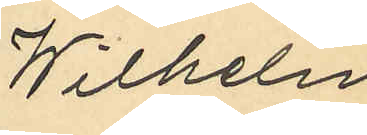Wilhelm
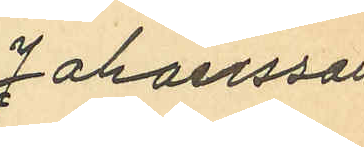Johansson
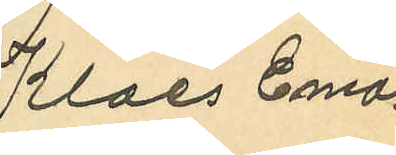Klaes Ema¬
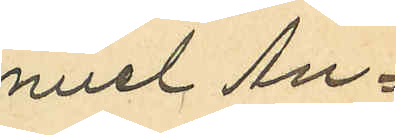nuel An¬
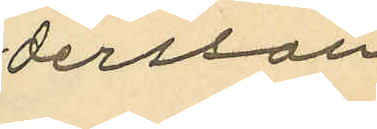dersson
